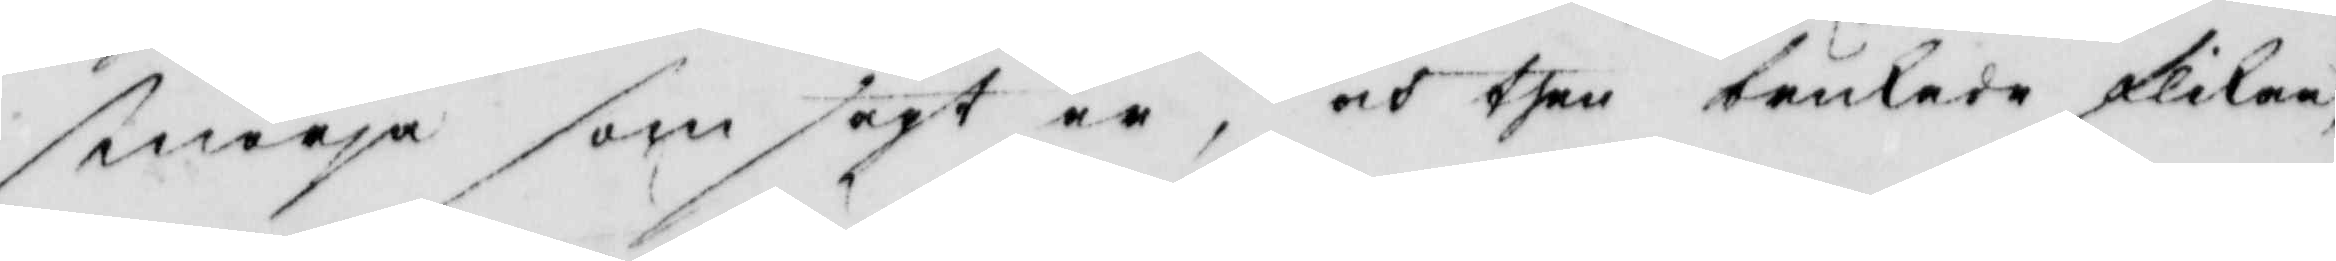smörja som sagt är, och then brukade flikan
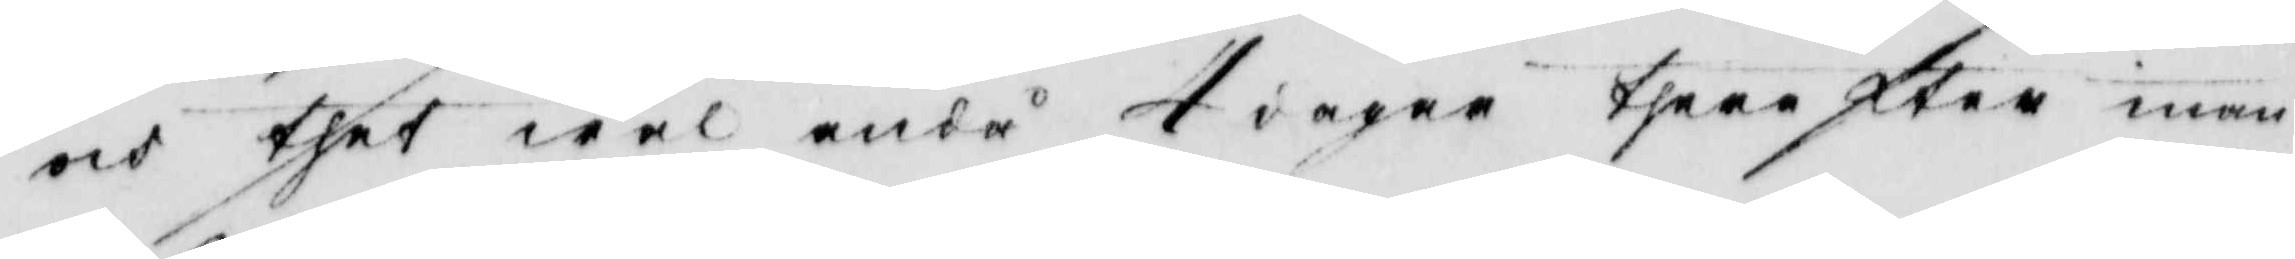och thet wäl ändå 4 dagar therefter inan
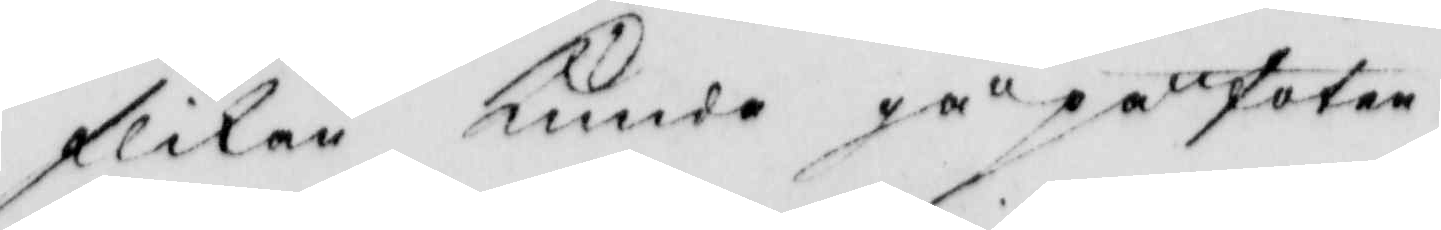flikan Kunde gå på foten.
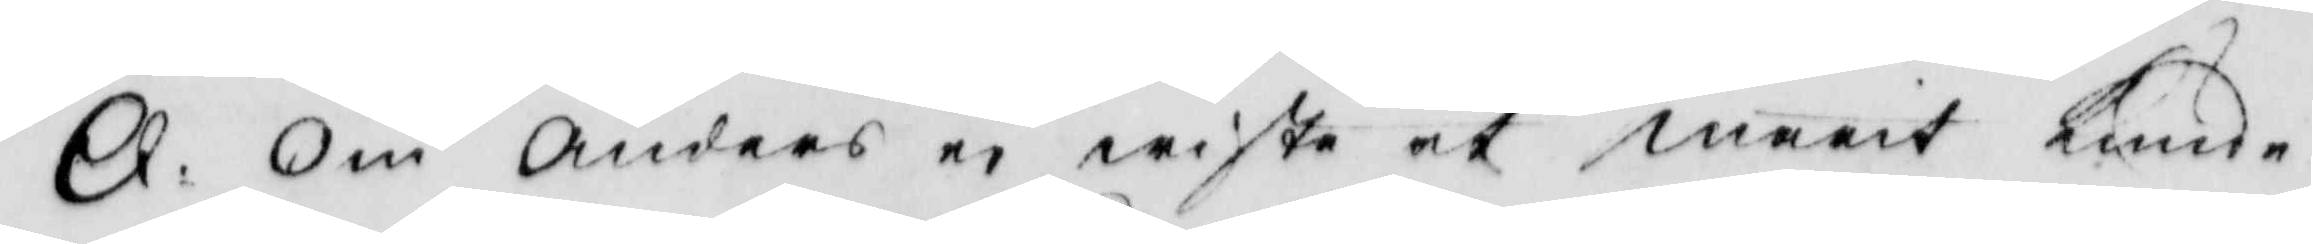Q: Om Anders ei wiste at marit Kunde
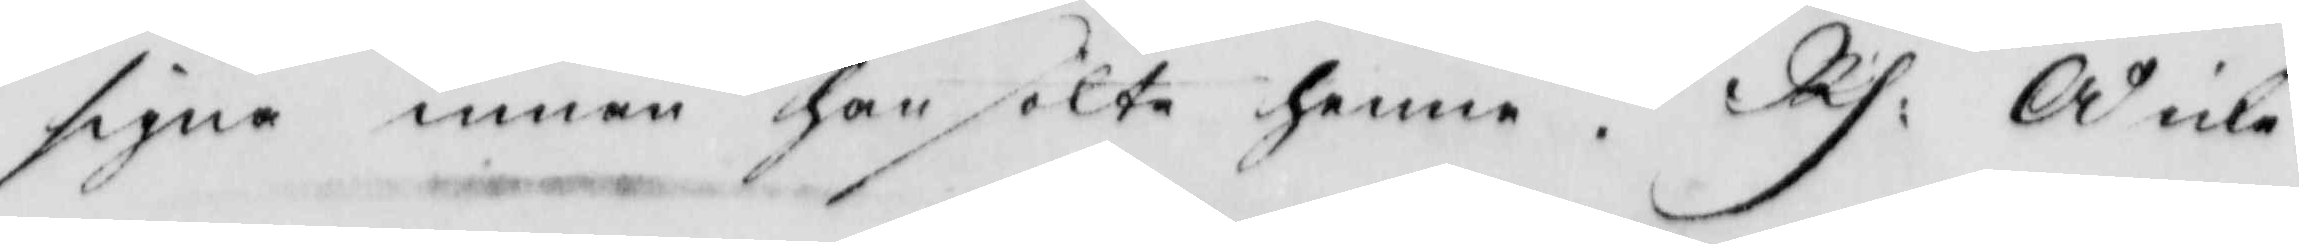signa innan han sökte henne. Rs: Å icke
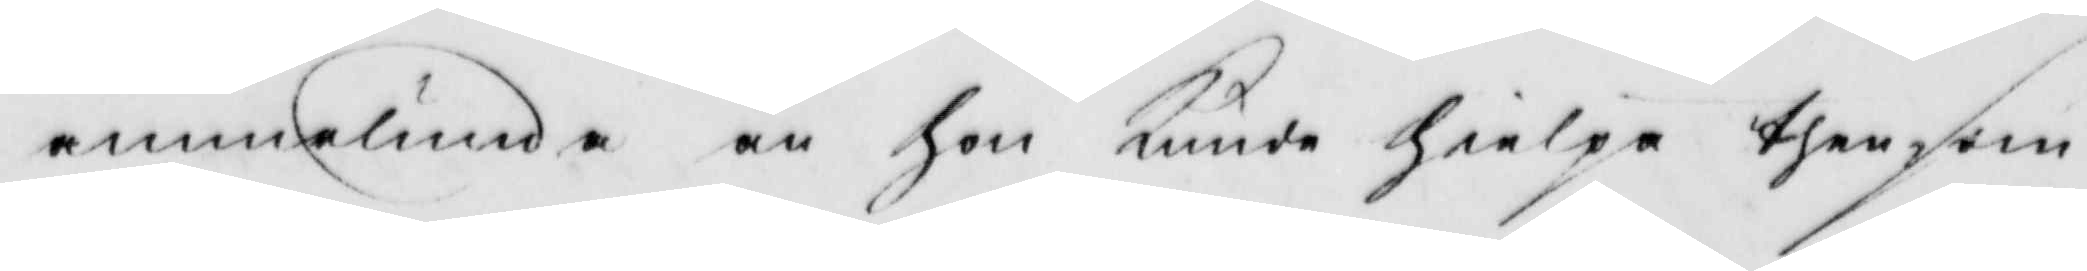annorlunda än hon Kunde hielpa then som
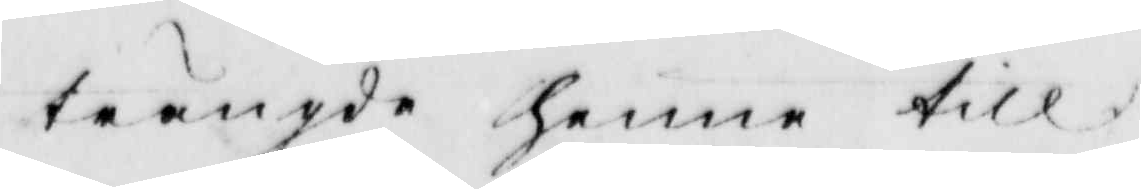trängde henne till.
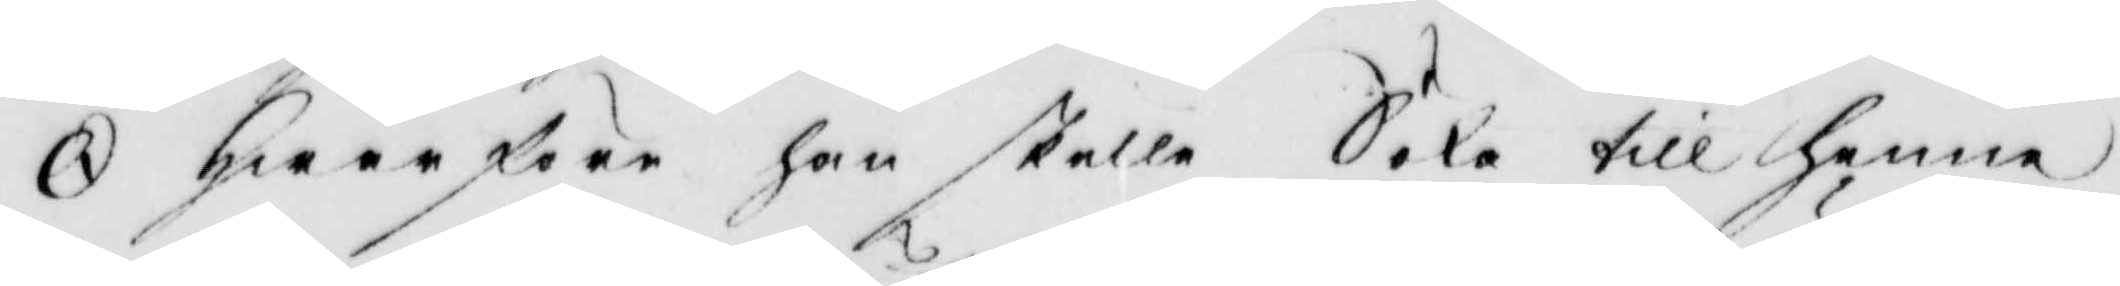Q: hwarföre han skulle Söka till henne
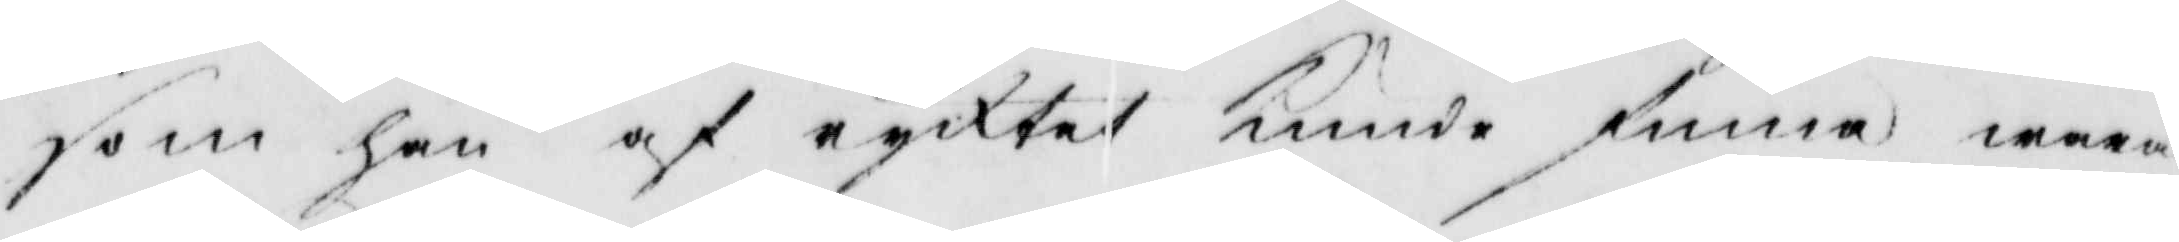som han af ryktet Kunde funna wara
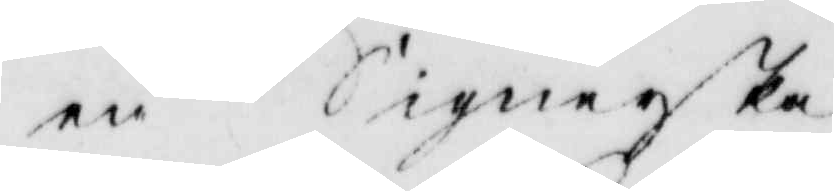en Signerska.
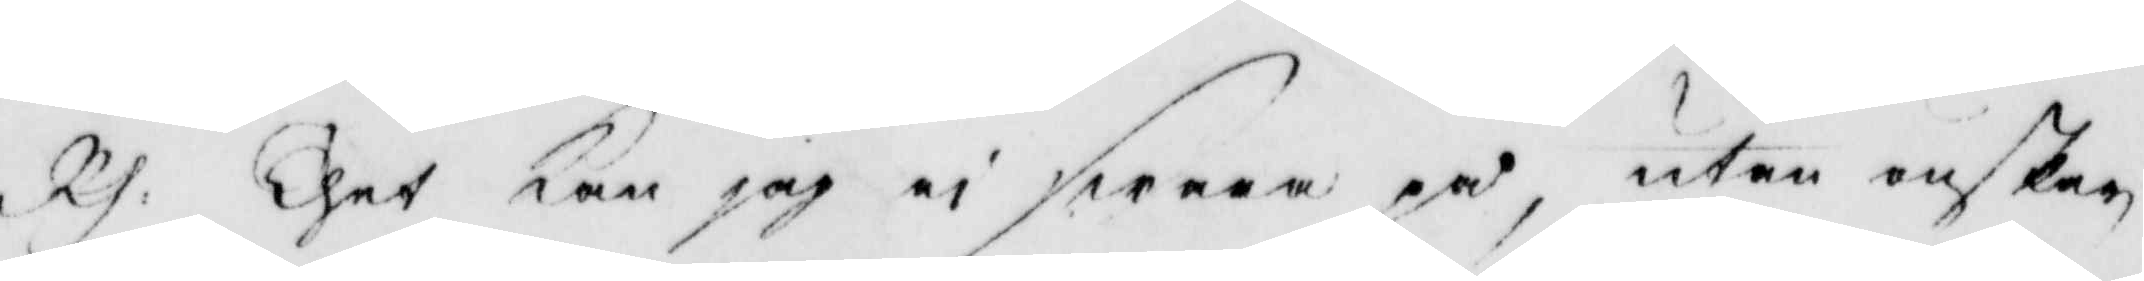Rs: Thet Kan jag ei swara på, utan önskar
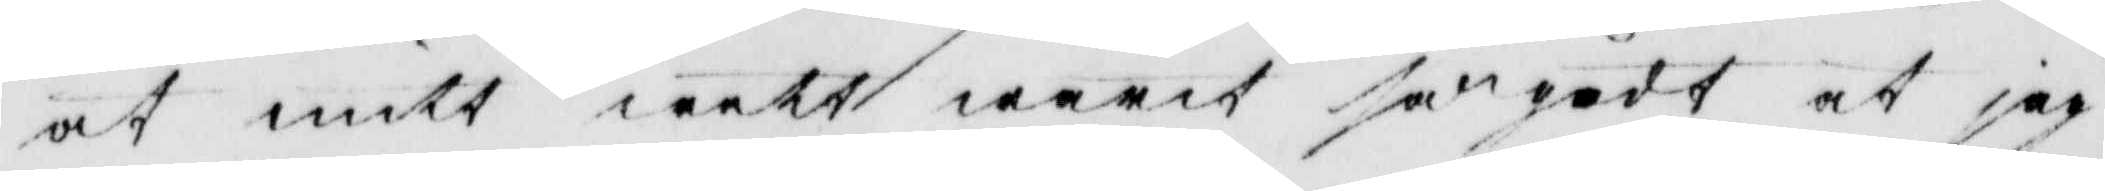at mitt wett warit så gådt at jag
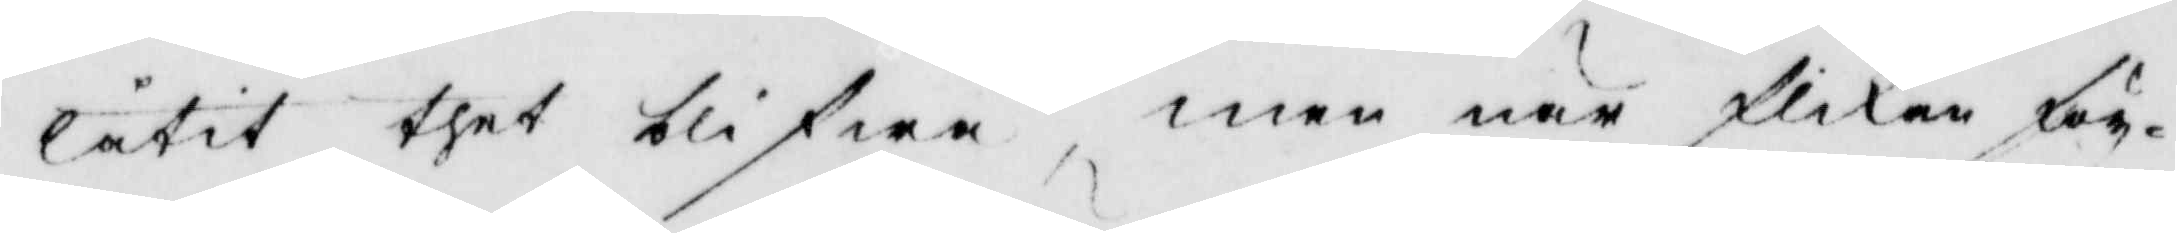låtit thet blifwa, men när flikan för
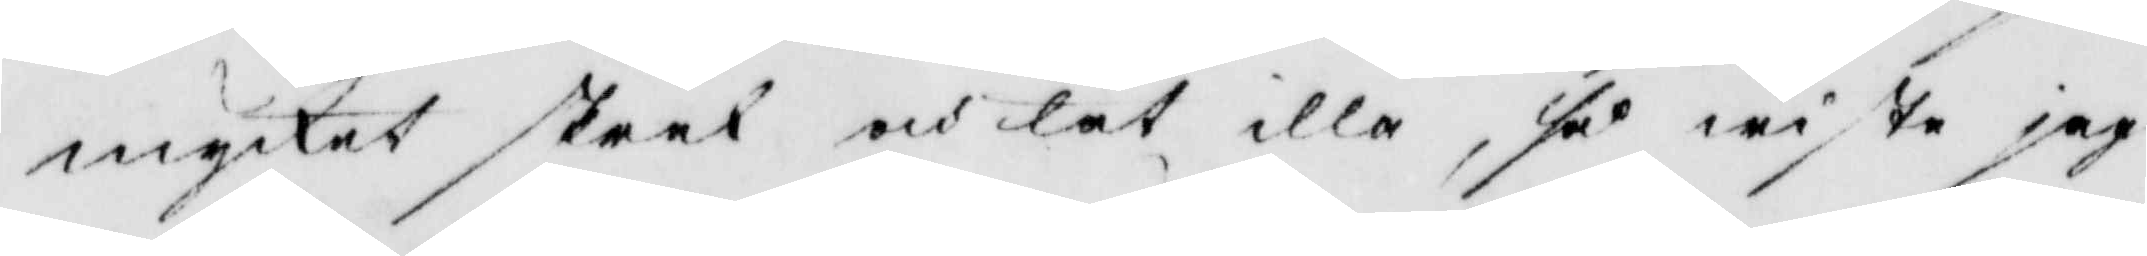mycket skrek och lät illa, så wiste jag
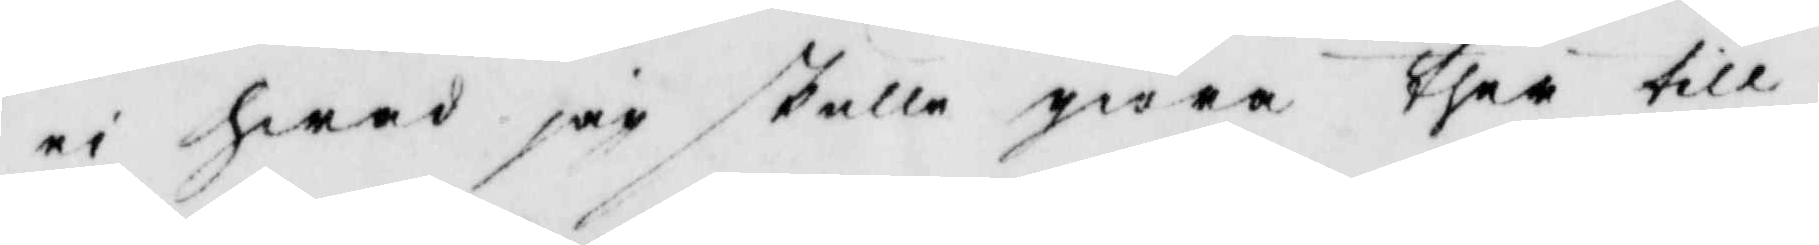ei hwad jag skulle giöra ther till.
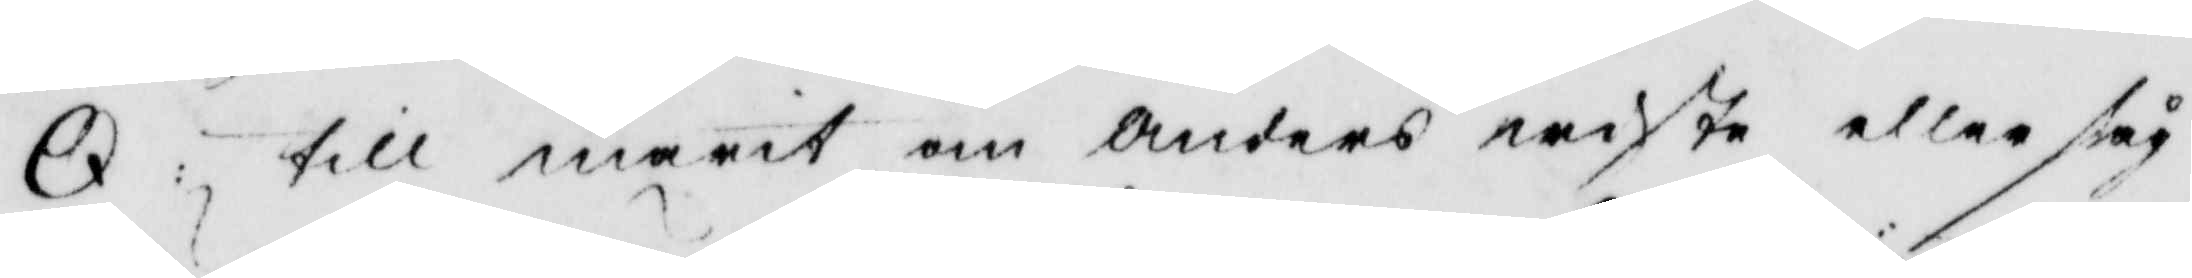Q: till marit om Anders wiste eller såg
